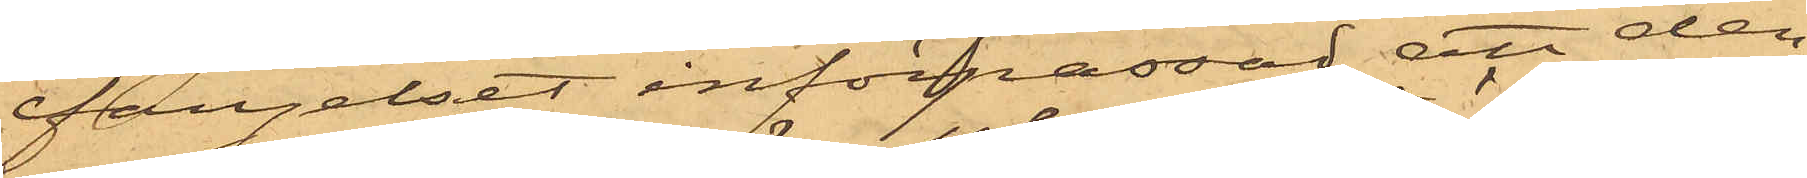fängelset införpassad, att den¬
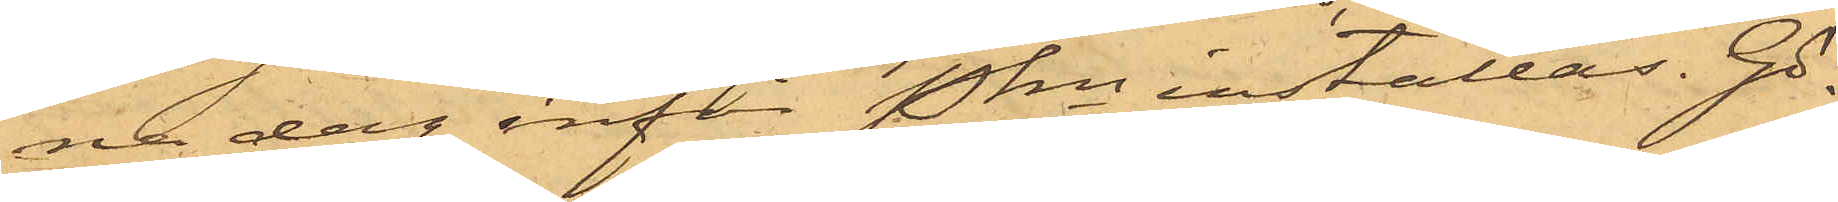na dag inför Pkn inställas. Gö¬
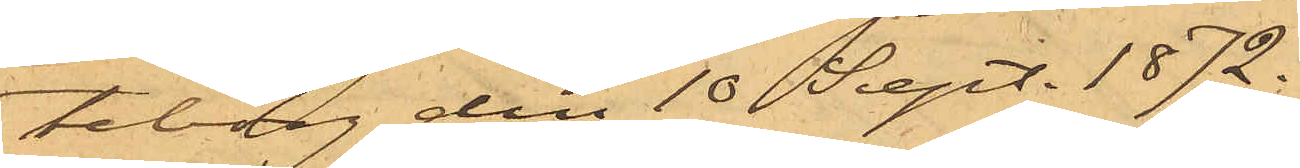teborg den 10 Sept. 1872.
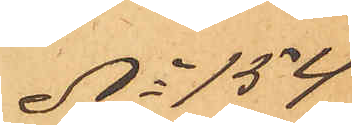No 154
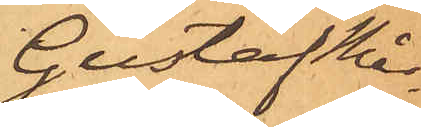Gustaf Mår¬
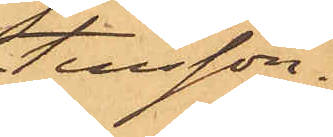tensson.
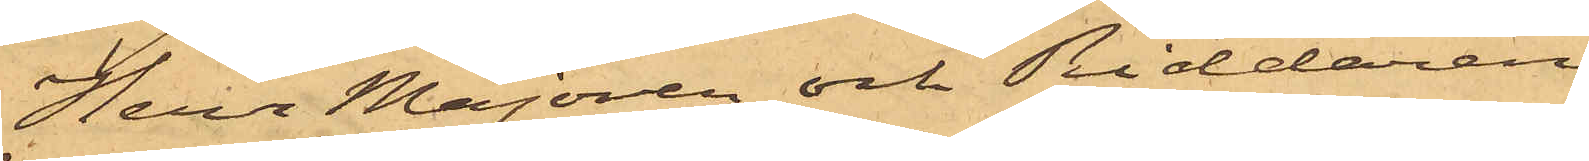Herr Majoren och Riddaren
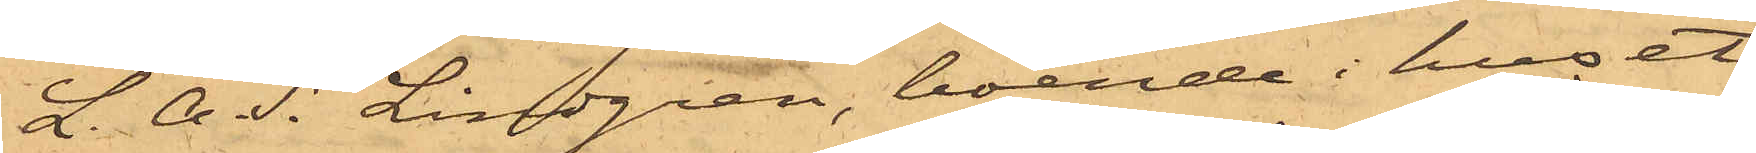L. A. S. Lindgren, boende i huset
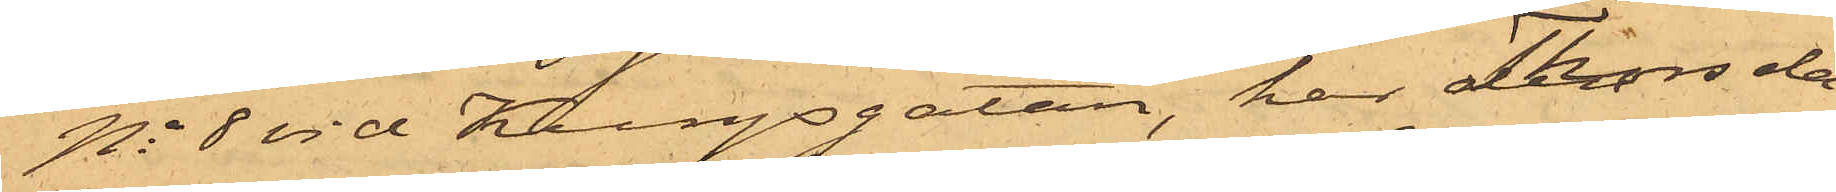No 8 vid Kungsgatan, har Thorsda¬
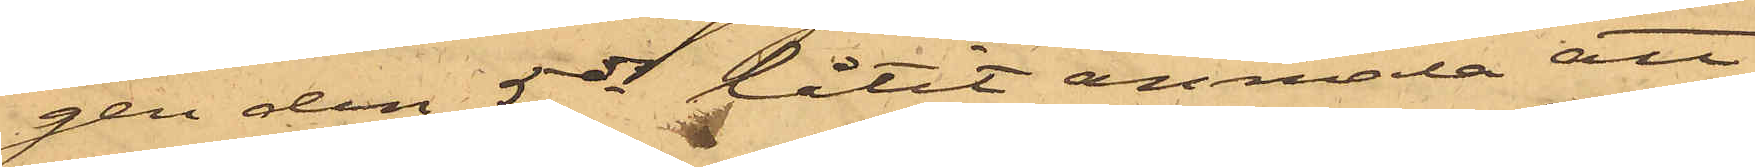gen den 5 ds låtit anmäla att
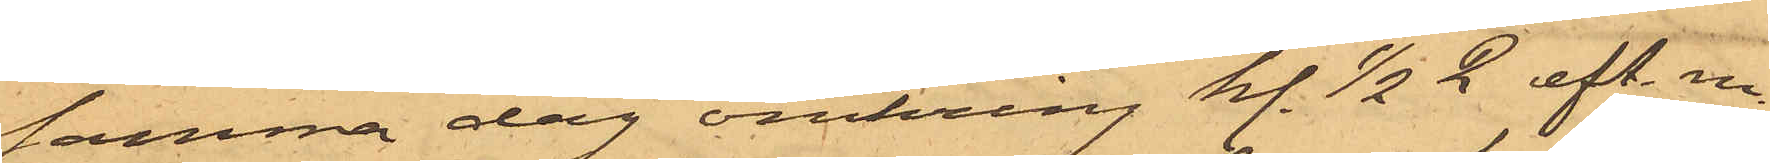samma dag omkring kl. 1/2 2 eft. m.
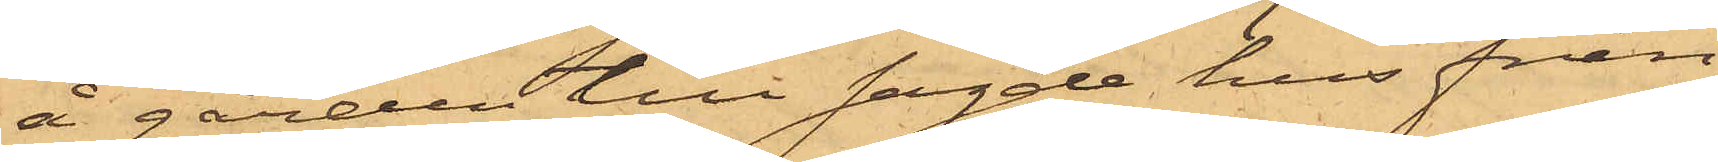å gården till sagde hus från
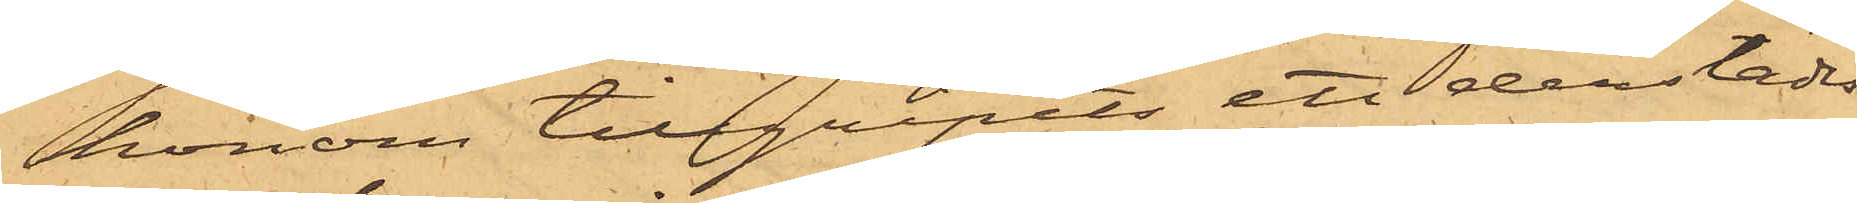honom tillgripits ett derstädes
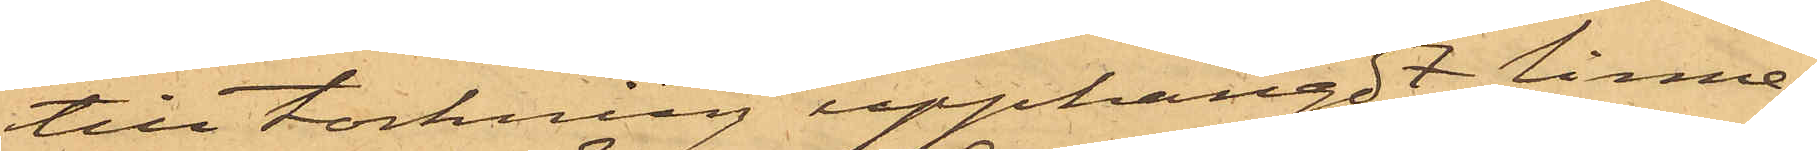till torkning upphängdt linne¬
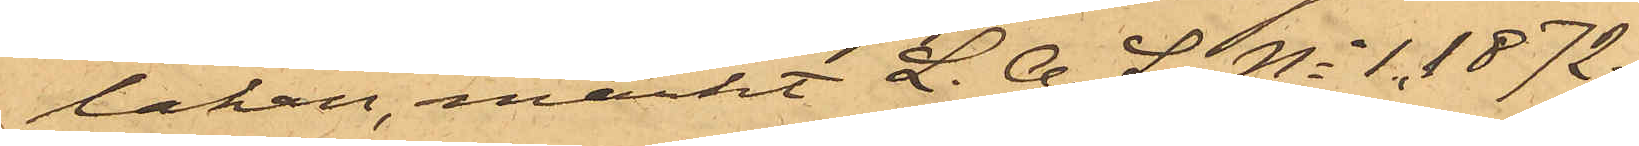lakan, märkt L. A. L. No 1,1872.
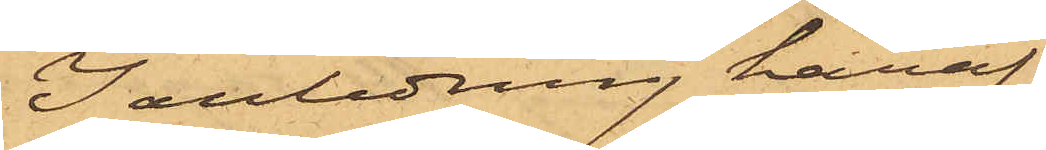I anledning häraf
